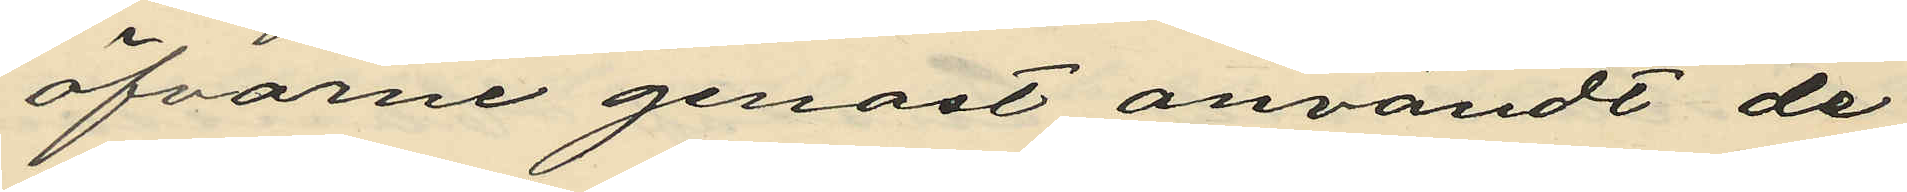öfvarne genast användt de
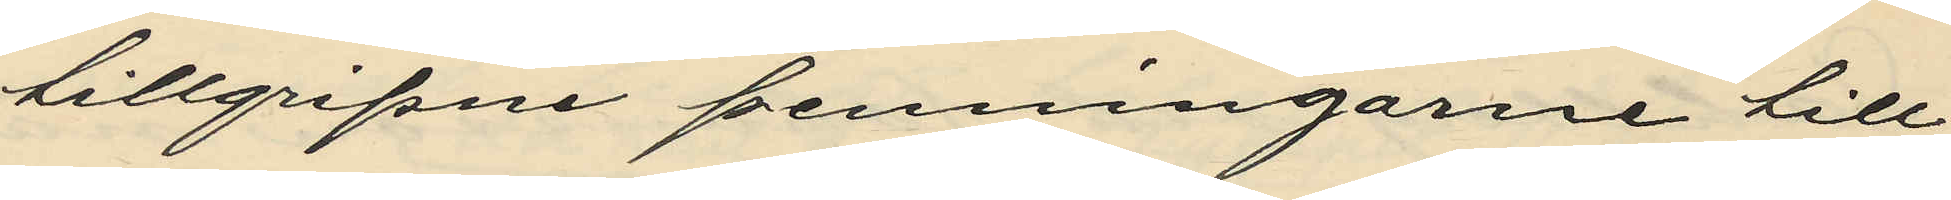tillgripne penningarne till
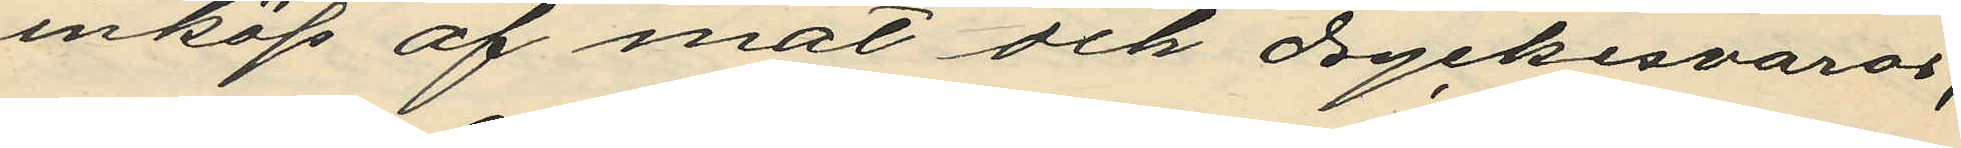inköp af mat och dryckesvaror;
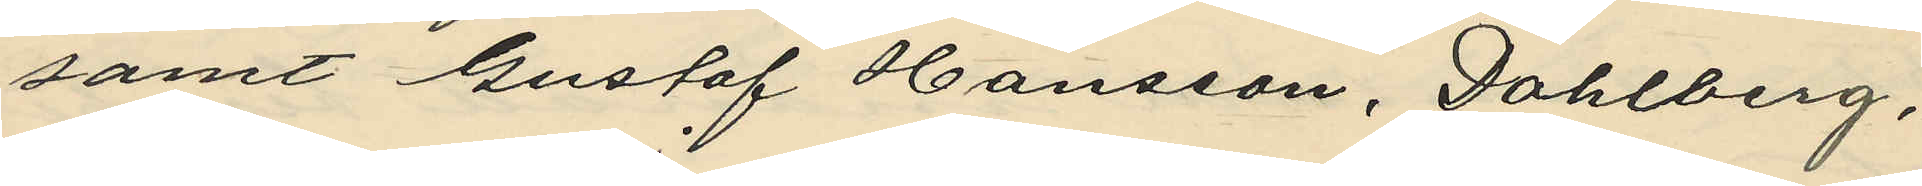samt Gustaf Hansson, Dahlberg,
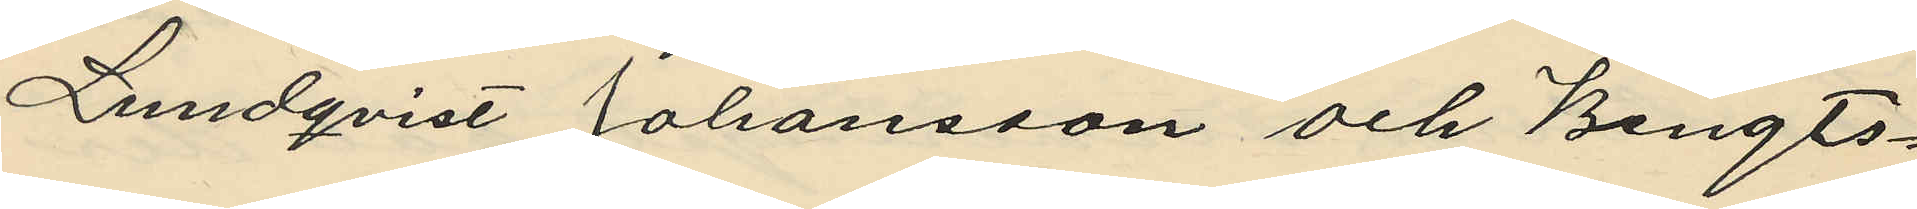Lundqvist Johansson och Bengts¬
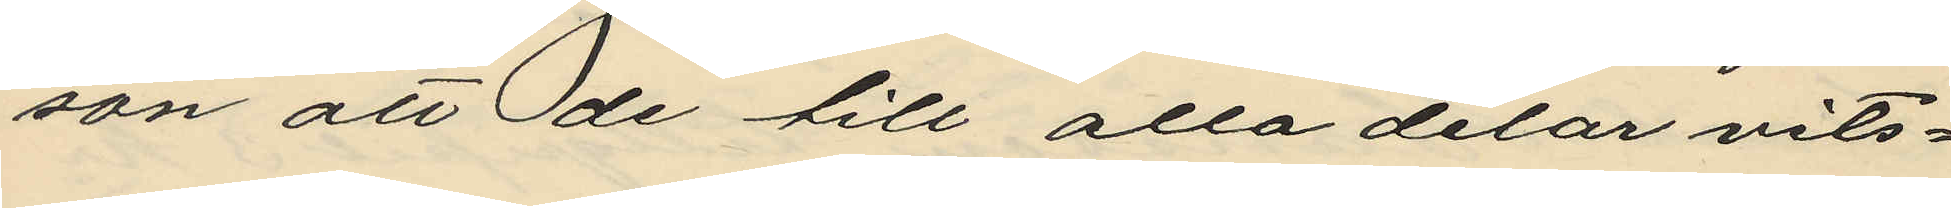son att de till alla delar vits¬
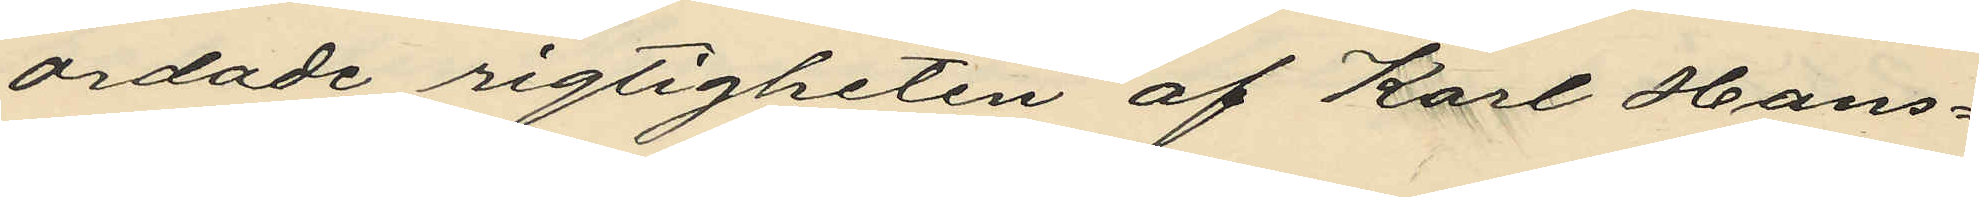ordade rigtigheten af Karl Hans¬
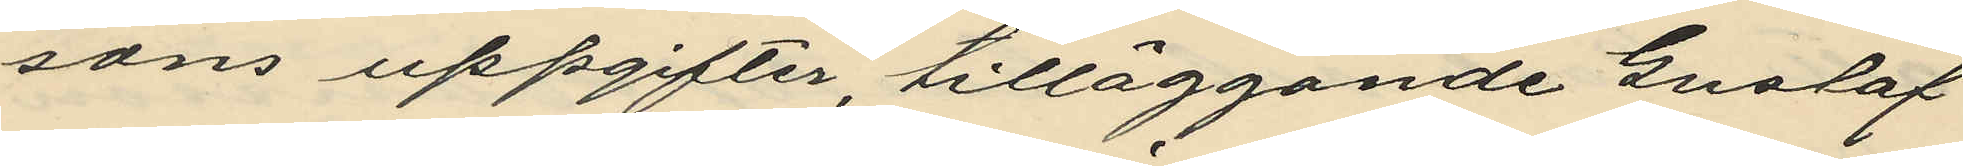sons uppgifter, tilläggande Gustaf
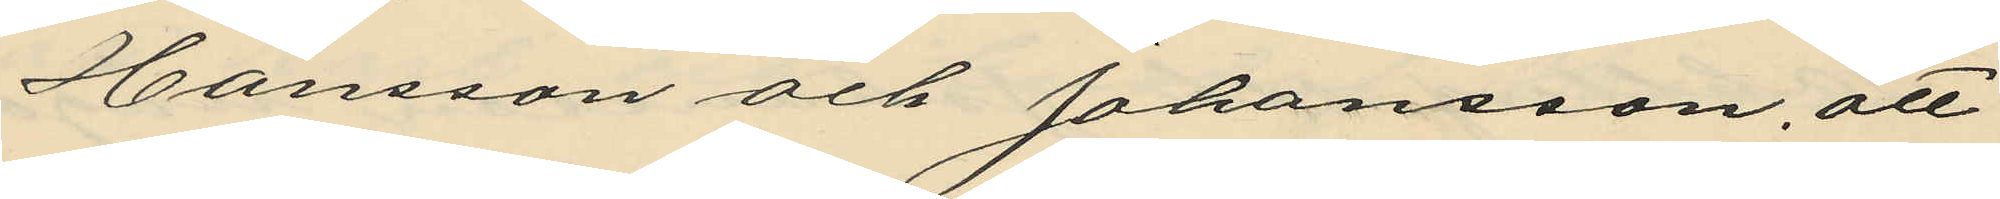Hansson och Johansson, att
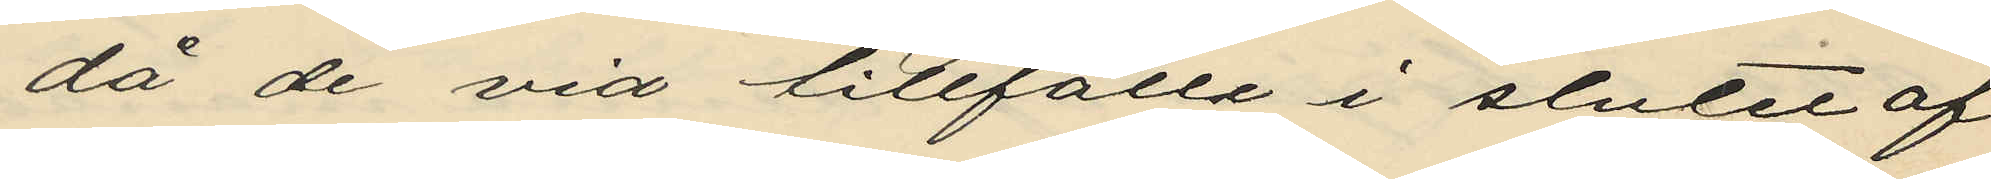då de vid tillfälle i slutet af
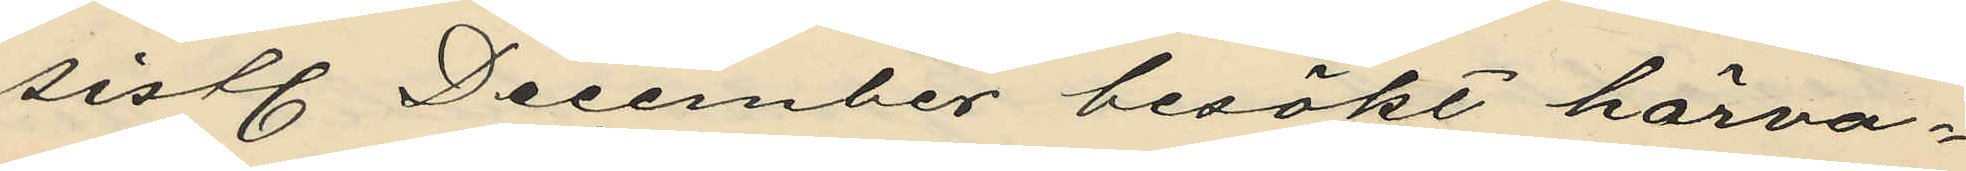sistl. December besökt härva¬
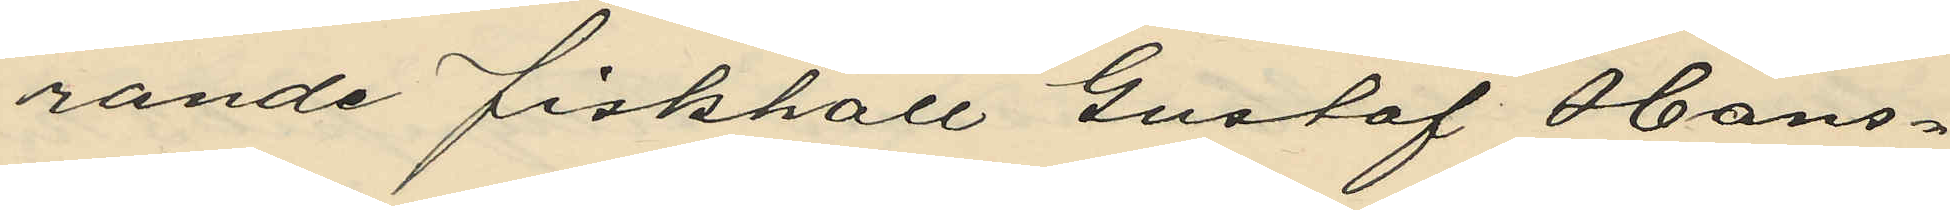rande fiskhall Gustaf Hans¬
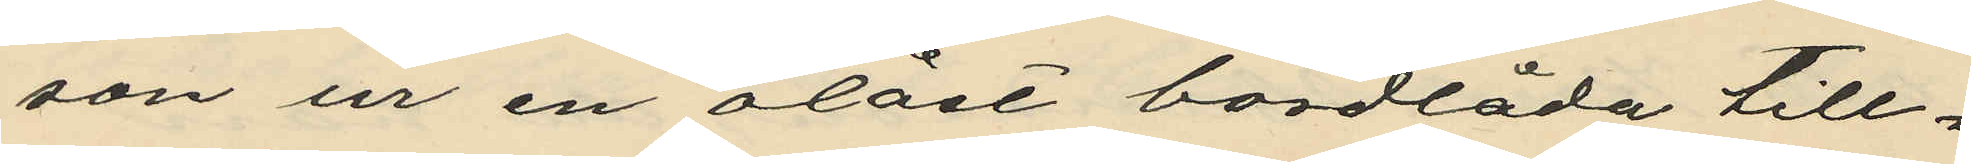son ur en olåst bordlåda till¬
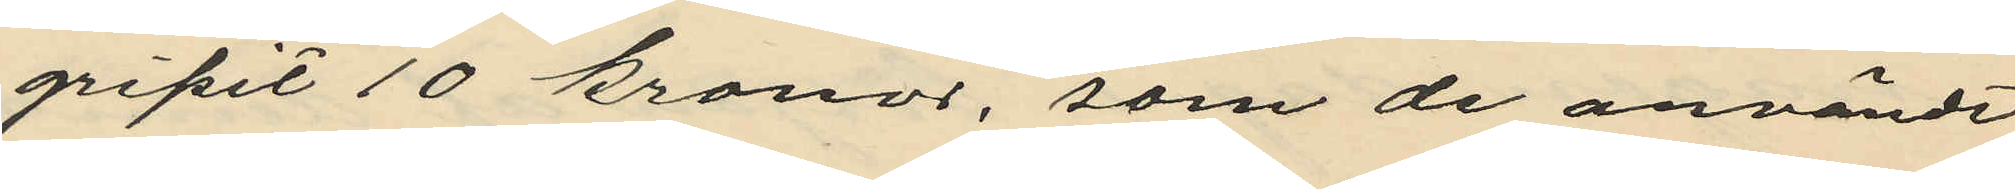gripit 10 kronor, som de användt
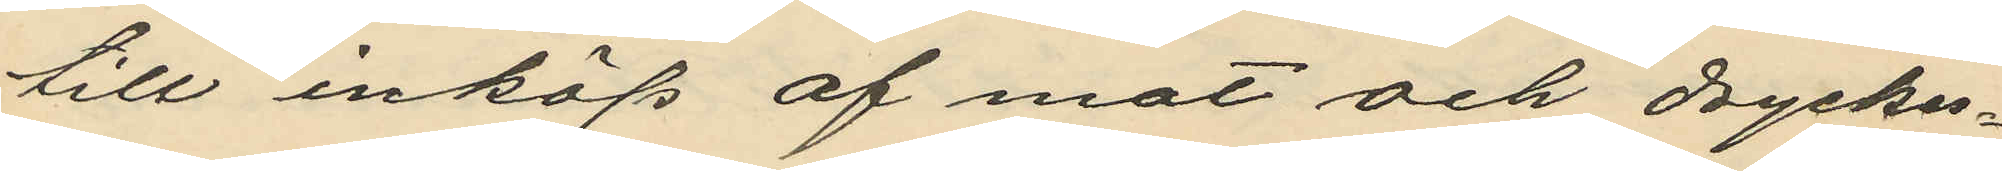till inköp af mat och dryckes¬
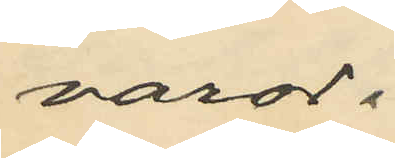varor;
